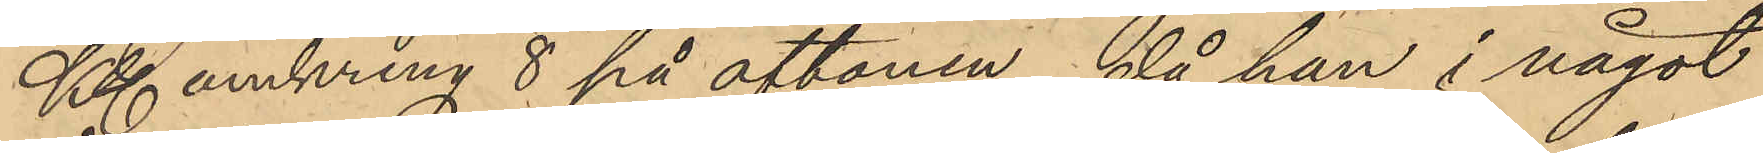Kl omkring 8 på aftonen, då han i något
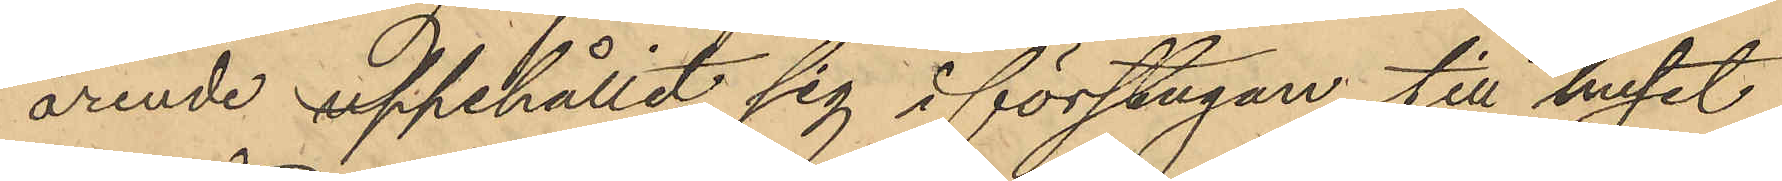ärende uppehållit sig i förstugan till huset
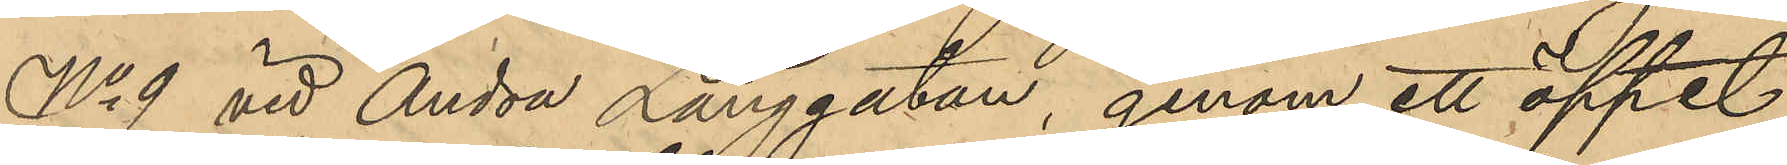No 9 vid Andra Långgatan genom ett öppet
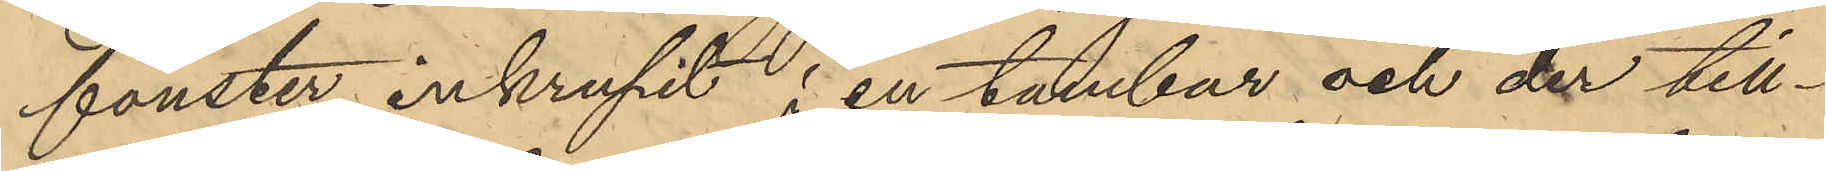fönster inkrupit i en tambur och der till¬
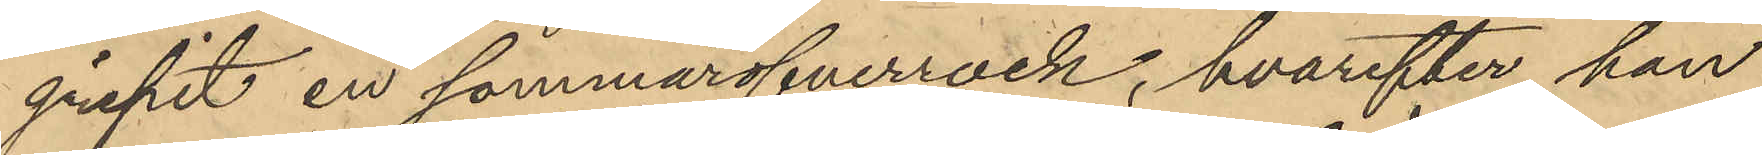gripit en sommaröfverrock, hvarefter han
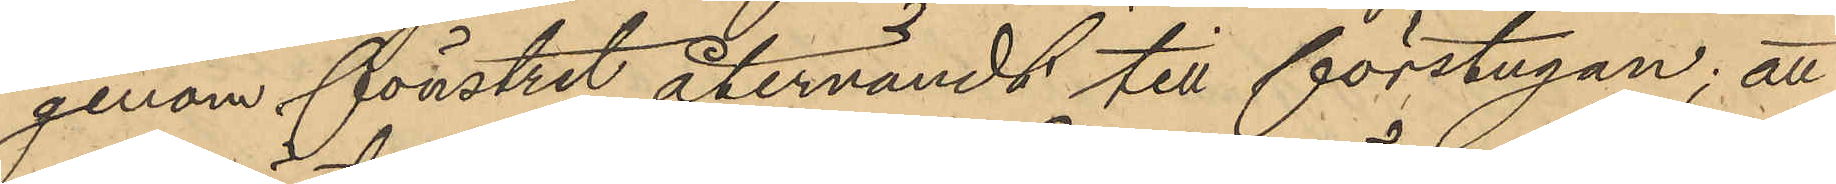genom fönstret återvändt till förstugan; att
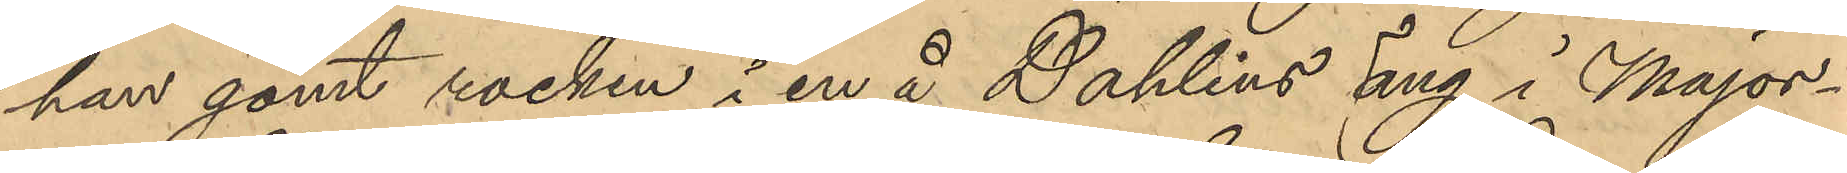han gömt rocken i en å Dahlins torg i Major¬
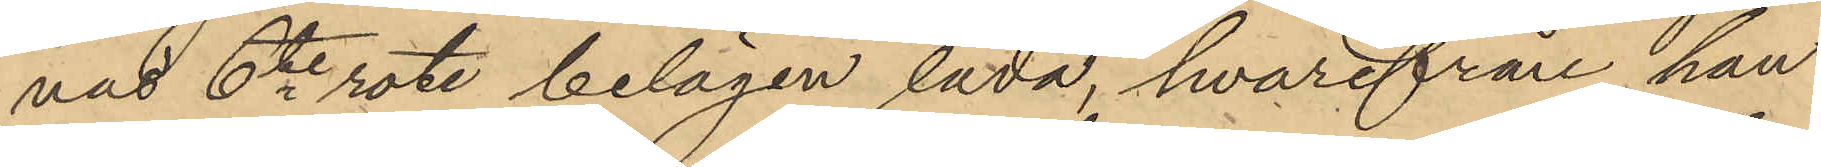nas 6te rote belägen lada, hvarifrån han
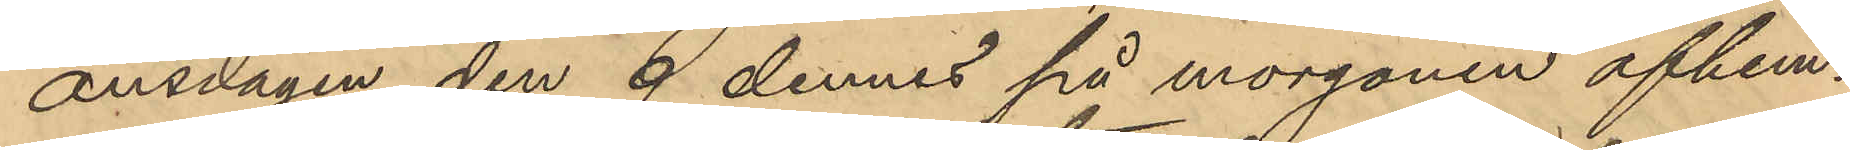onsdagen den 9 dennes på morgonen afhem¬
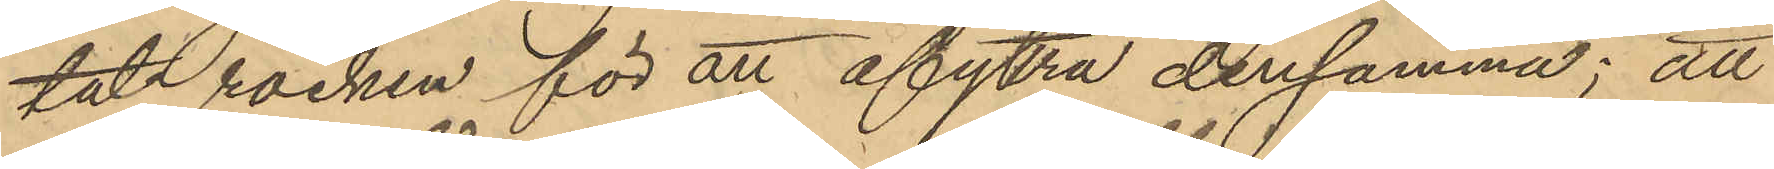tat rocken för att afyttra densamma; att
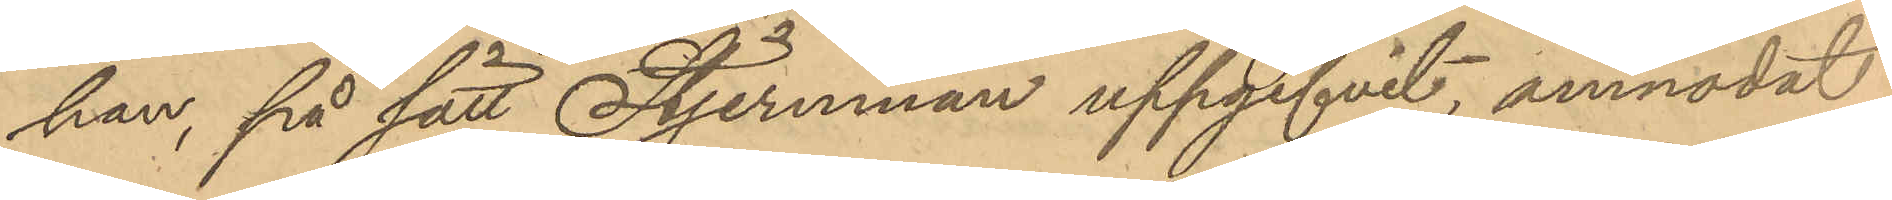han, på sätt Stjernman uppgifvit, anmodat
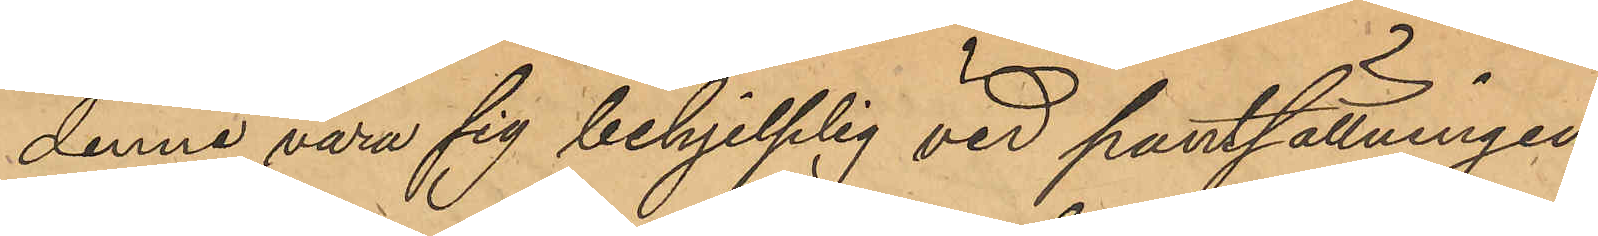denne vara sig behjelplig vid pantsättningen
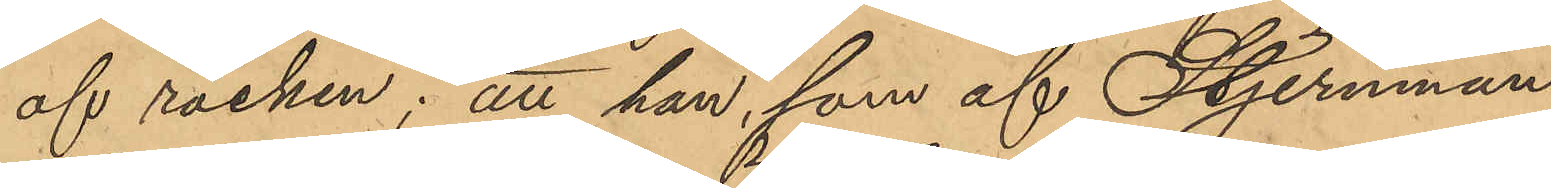af rocken; att han, som af Stjernman
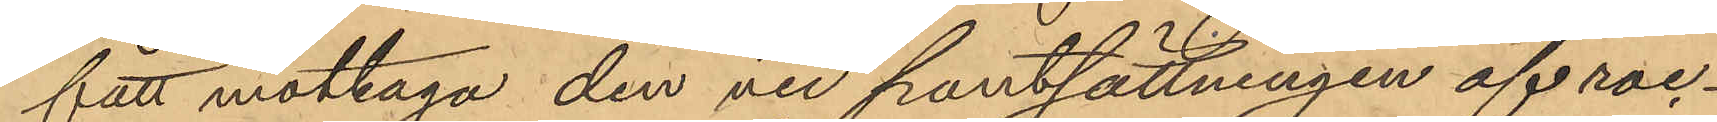fått mottaga den vid pantsättningen af roc¬
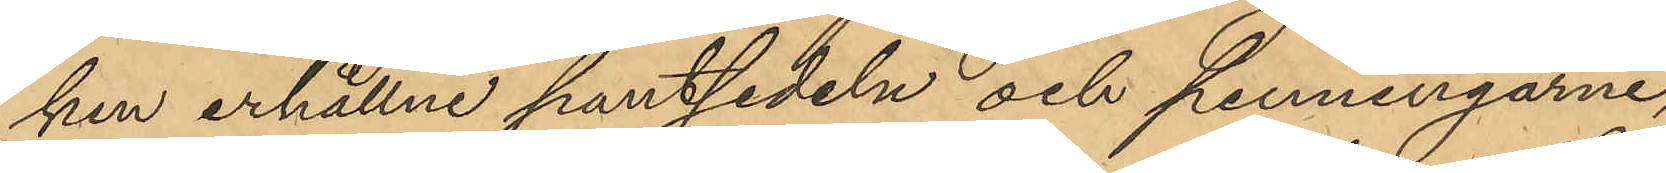ken erhållne pantsedeln och penningarne,
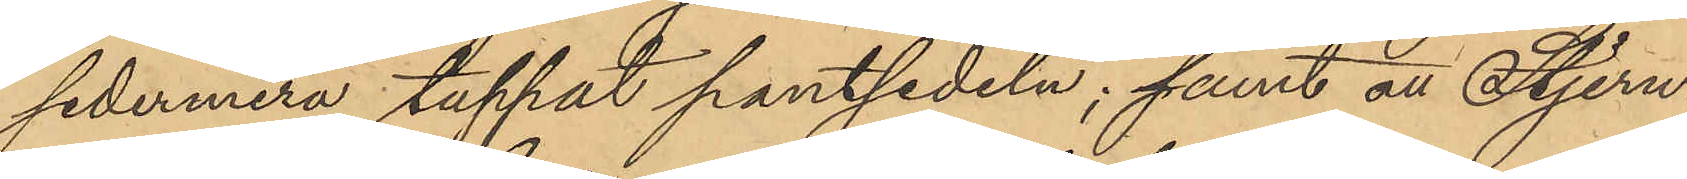sedermera tappat pantsedeln; samt att Stjern¬
